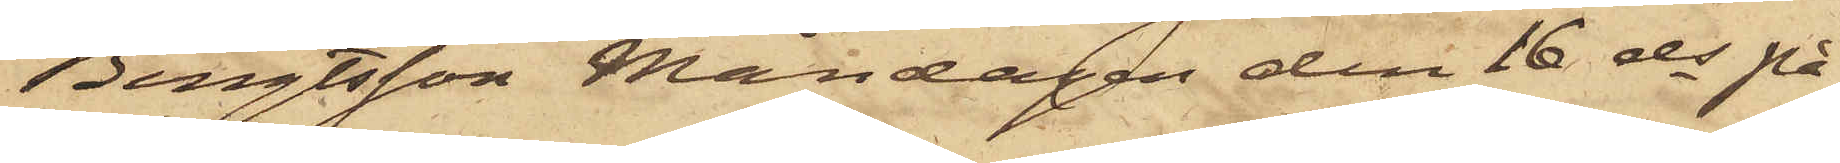Bengtsson Måndagen den 16 ds på
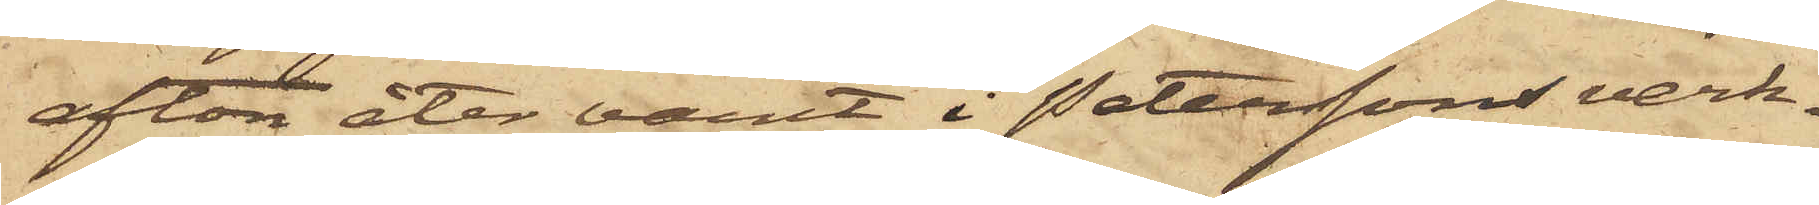afton åter varit i Peterssons verk¬
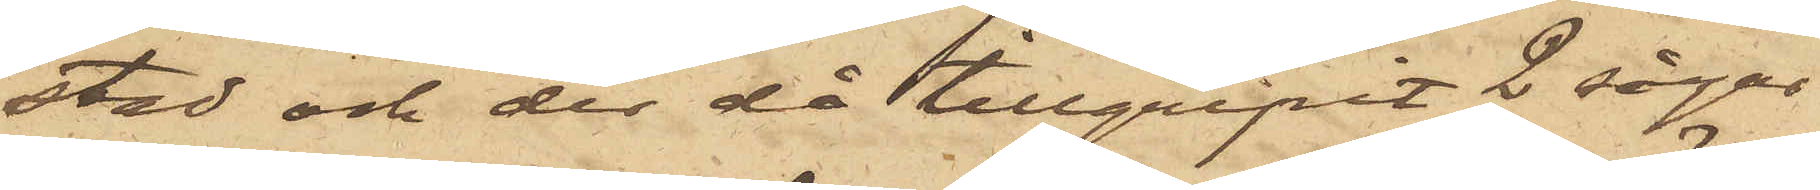stad och der då tillgripit 2 sågar
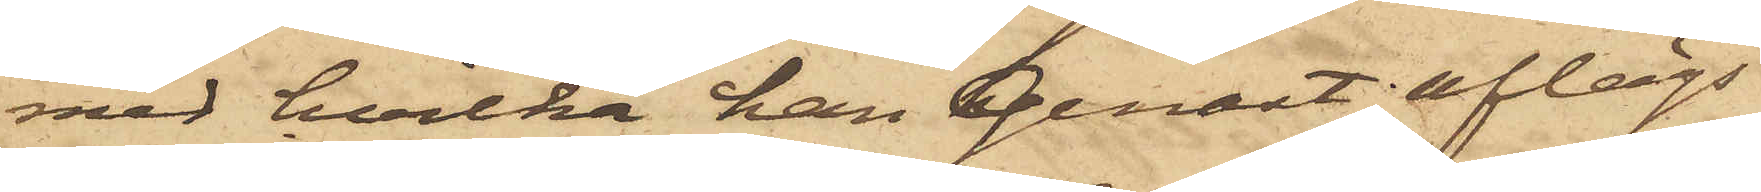med hvilka han genast aflägs¬
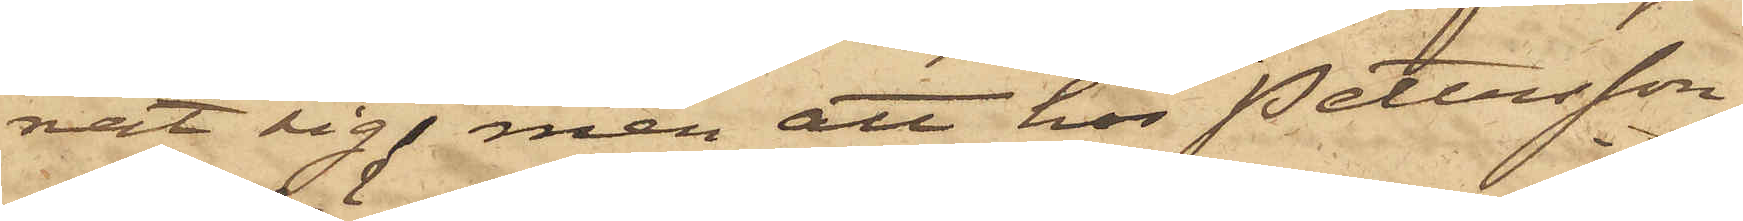nat sig, men att hos Pettersson
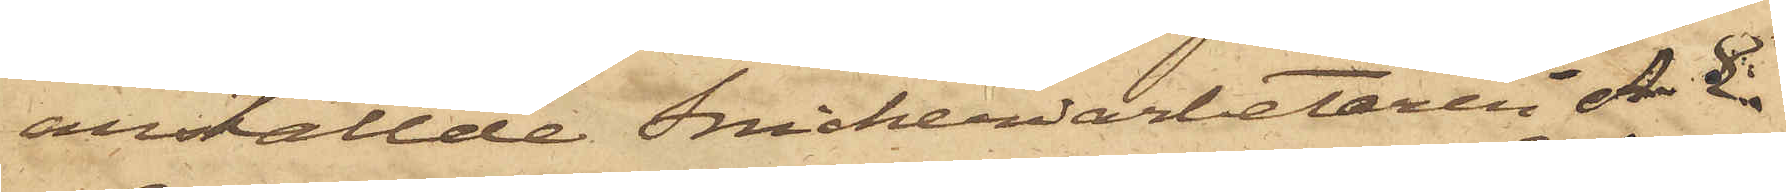anställde Snickeriarbetaren A. E.
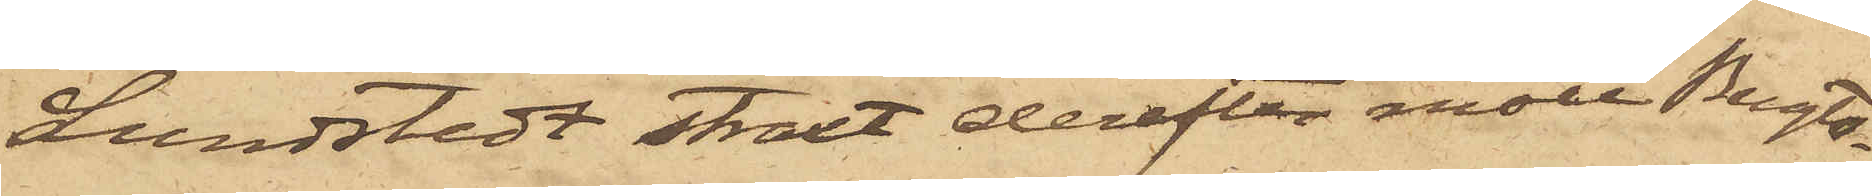Lundstedt straxt derefter mött Bengts¬
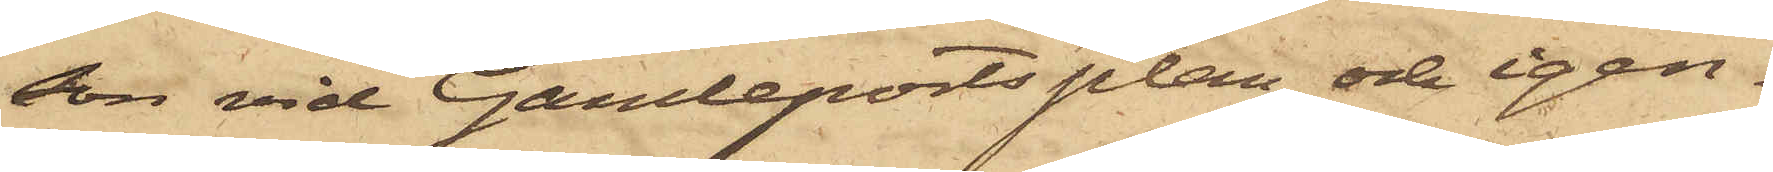son vid Gamleportsplan och igen¬
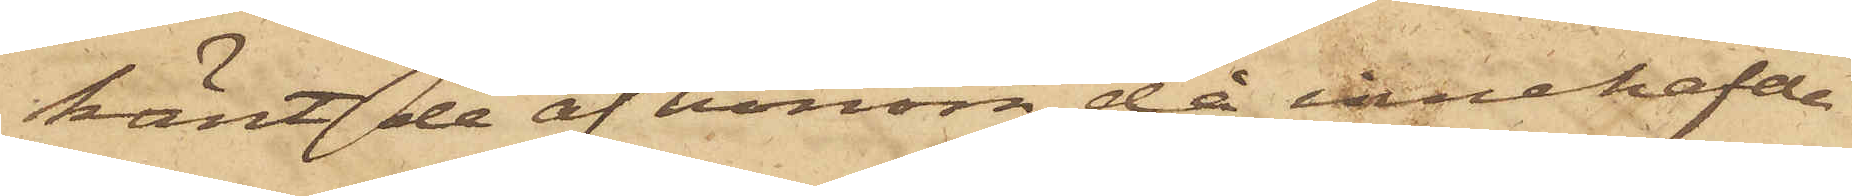känt de af honom då innehafde
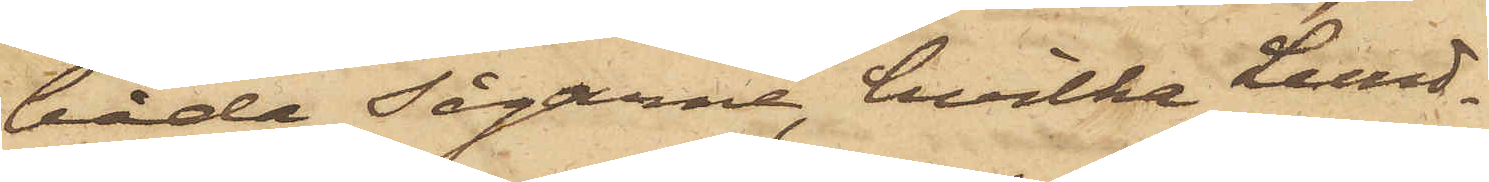båda sågarne, hvilka Lund¬
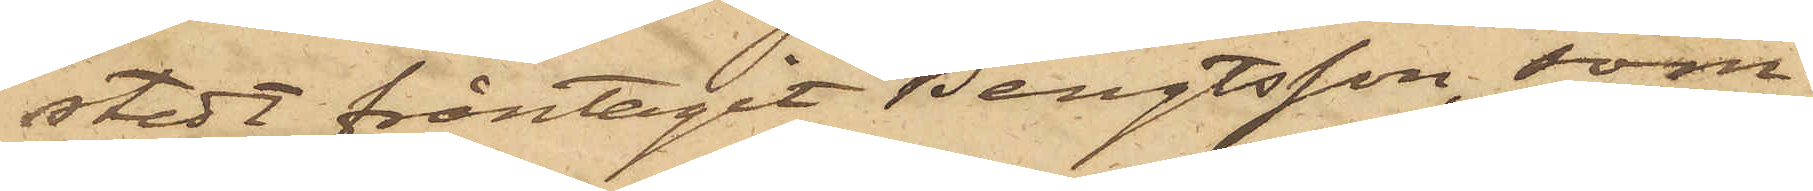stedt fråntagit Bengtsson, som
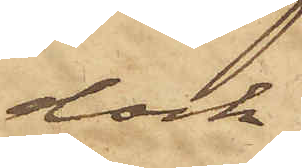dock
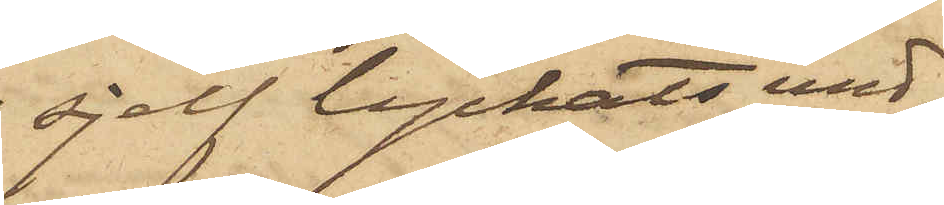sjelf lyckats und¬
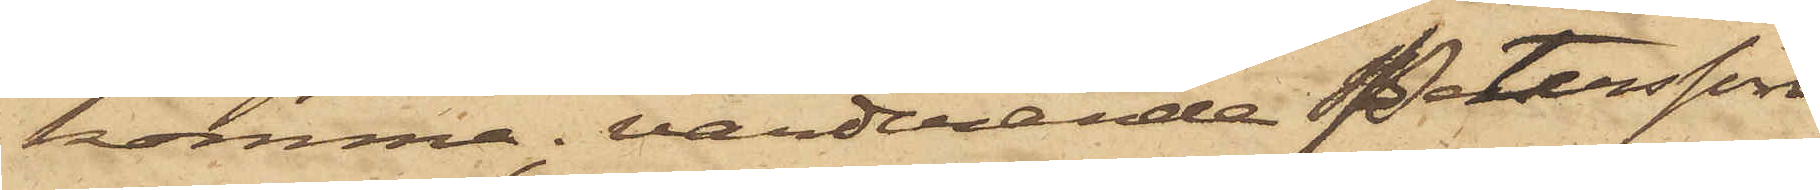komma, värderande Petersson
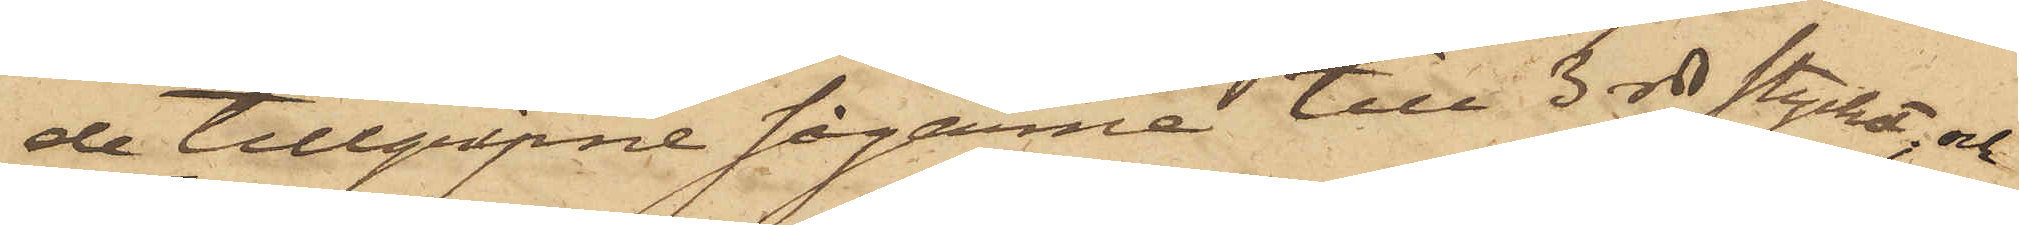de tillgripne sågarne till 3 rdr stycket; och
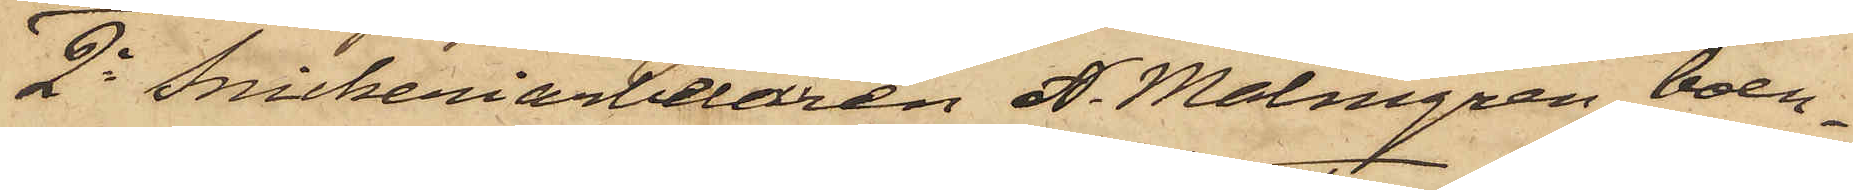2o Snickeriarbetaren A. Malmgren, boen¬
